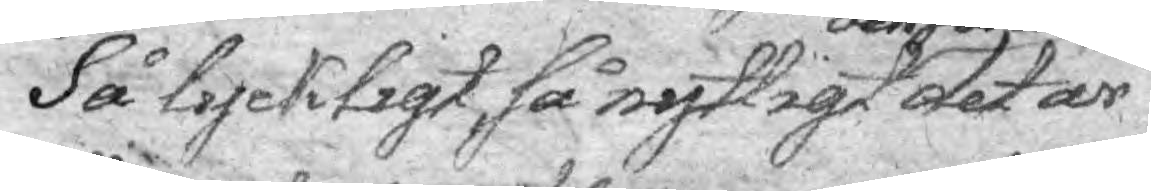Så lyckligt, så nyttigt och säkert det är
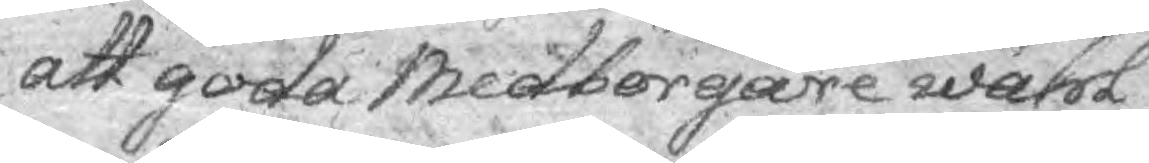att goda Medborgare wähl
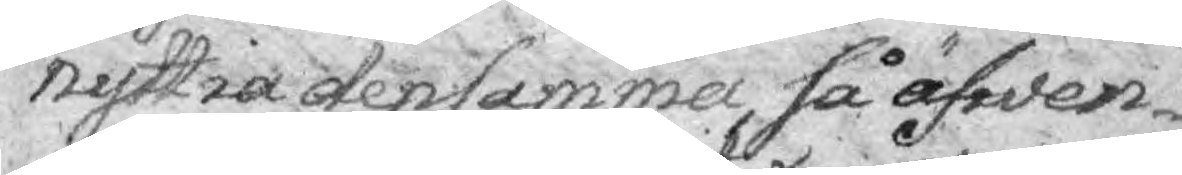nyttia densamma, så äfwen¬
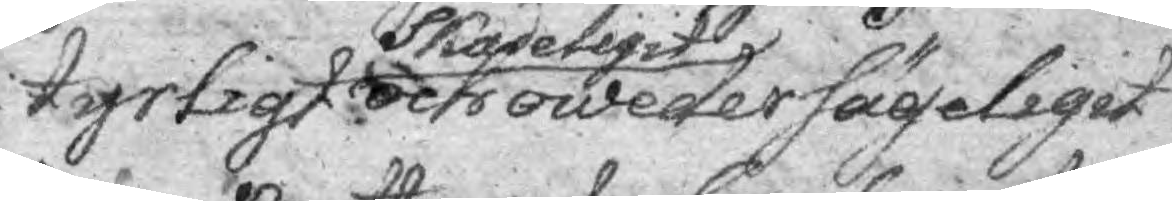tyrligt skadeligt och och owedersägeligit
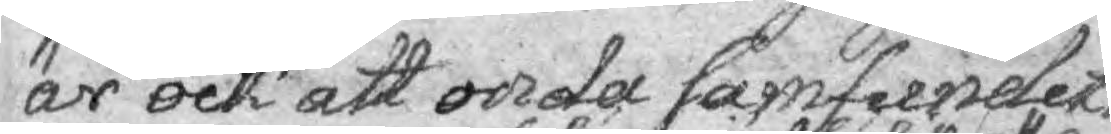är ock att onda samfundets
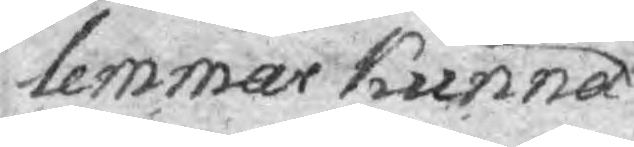lemmar kunna
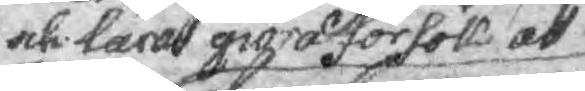och läna giord försök att
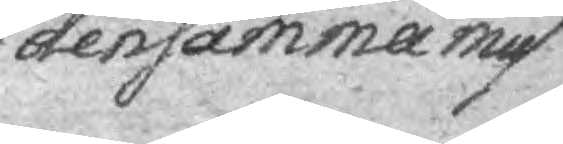densamma miss¬
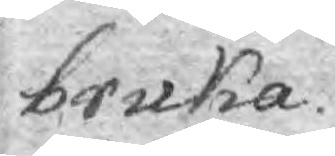bruka.
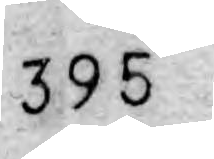395
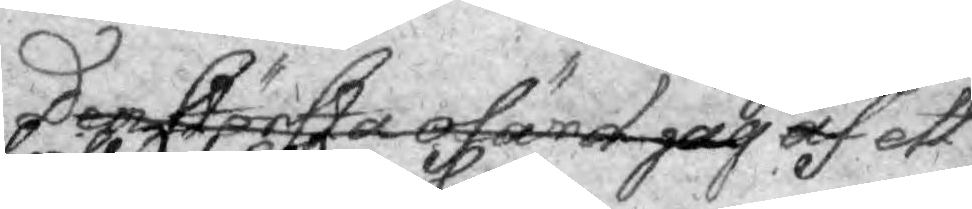Den största ofämd jag af genom ett
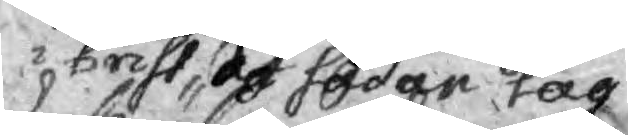brist af sådan lag
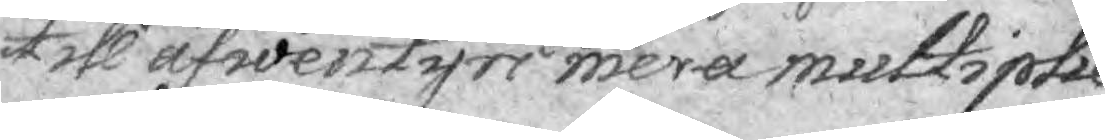till äfwentyri mera multiplie¬
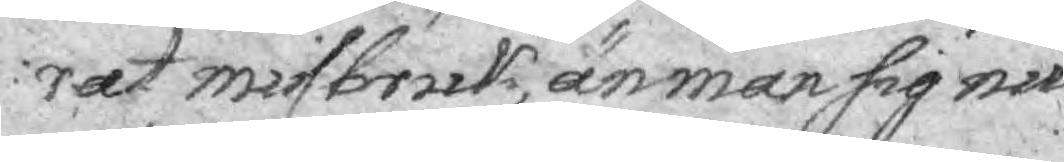rat misstruk, än man sig nu
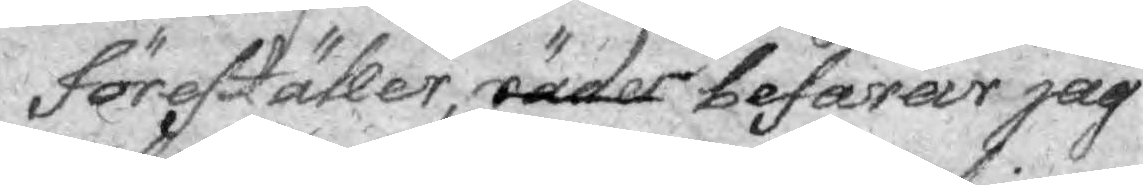föreställer, räder befarar jag
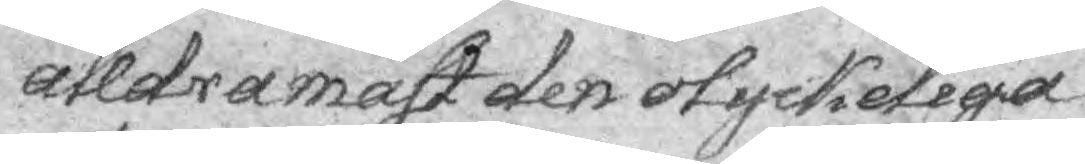arldra mäst den otyckeliga
